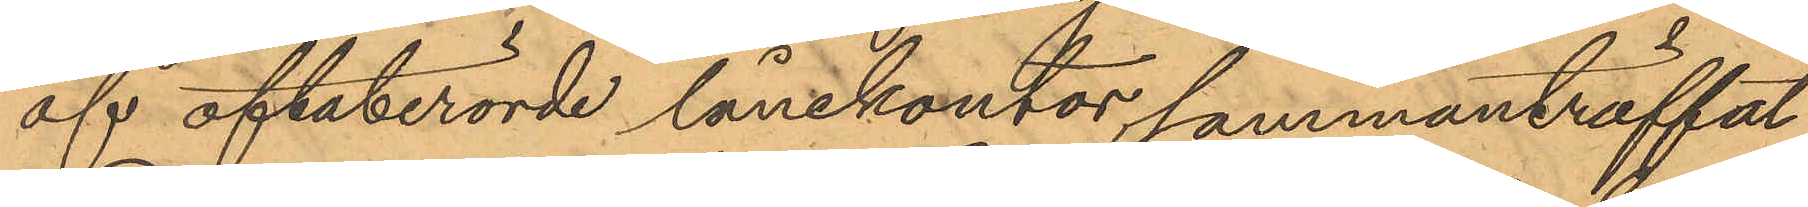af oftaberörde lånekontor sammanträffat
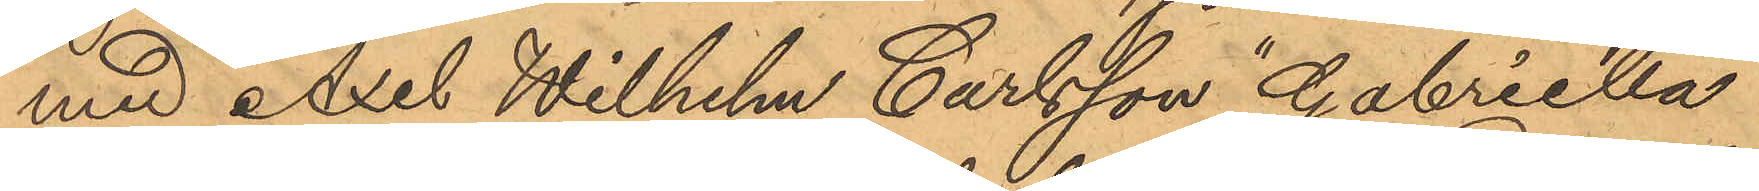med Axel Wilhelm Carlsson "Gabriella"
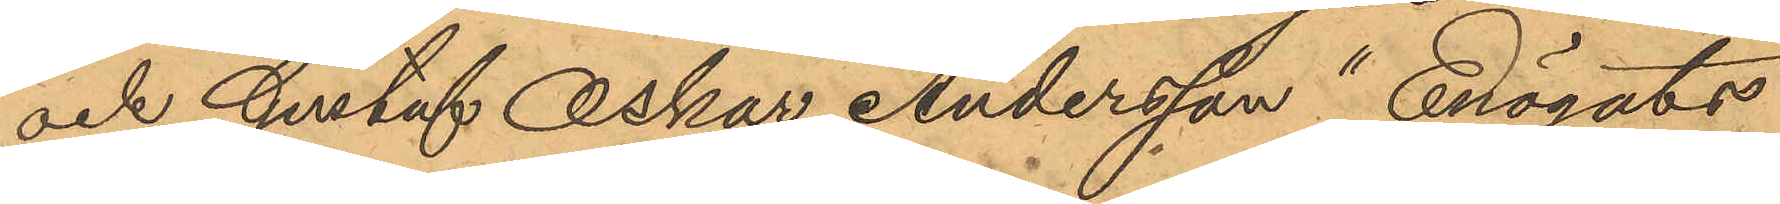och Gustaf Oskar Andersson "Enögats
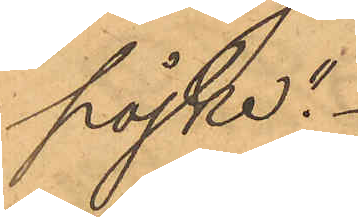pojke".
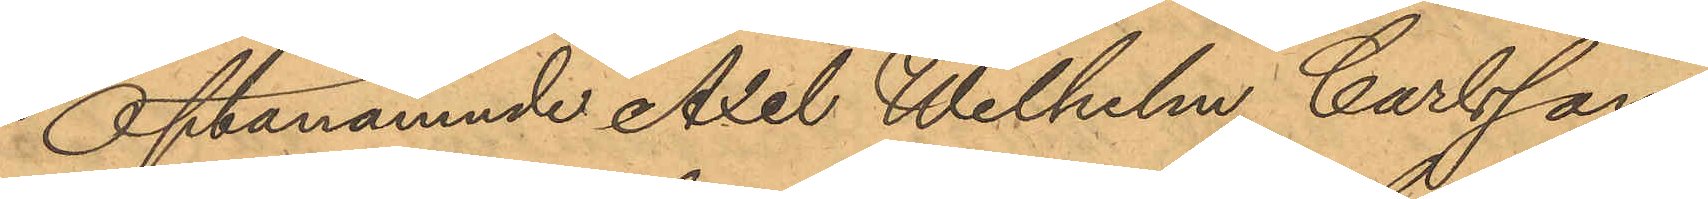Oftanämnde Axel Wilhelm Carlsson
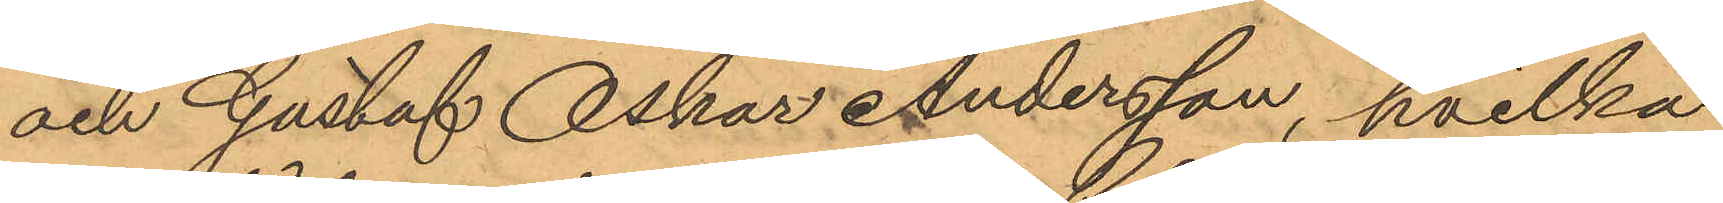och Gustaf Oskar Andersson, hvilka
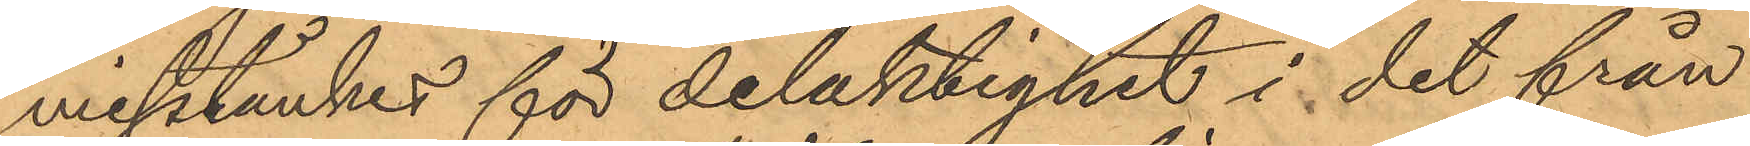misstänkes för delaktighet i det från
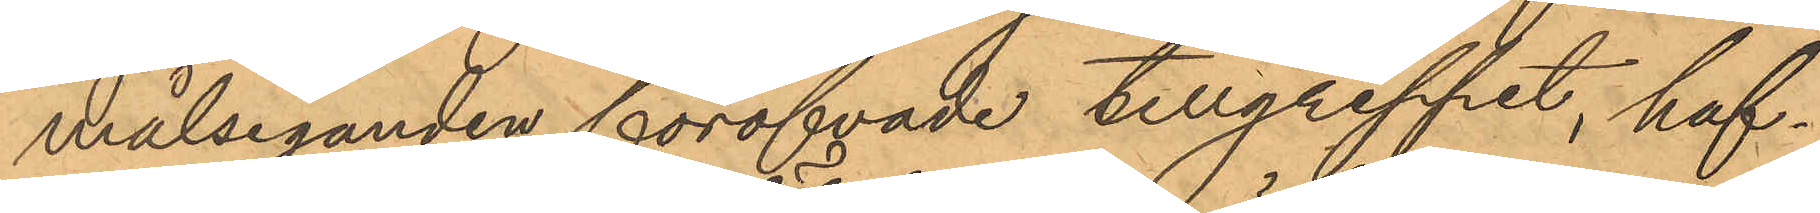målseganden föröfvade tillgreppet, haf¬
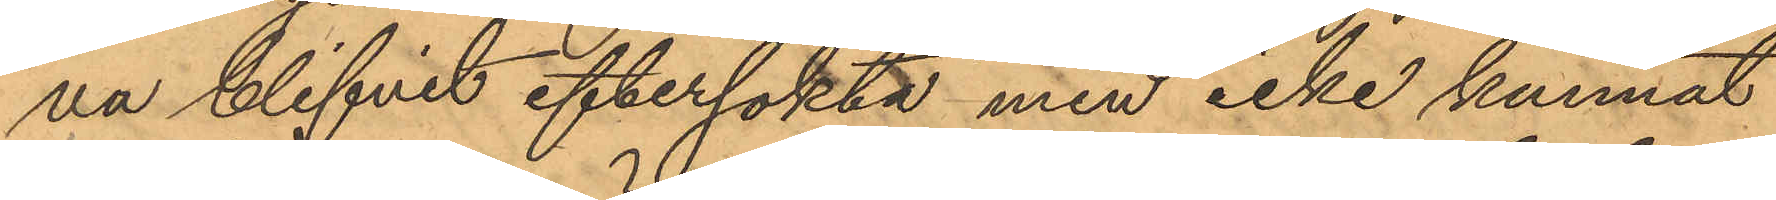va blifvit eftersökta men icke kunnat
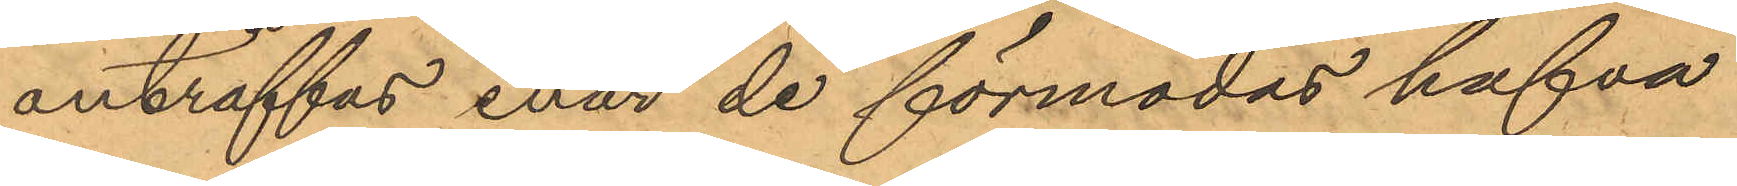anträffas enär de förmodas hafva
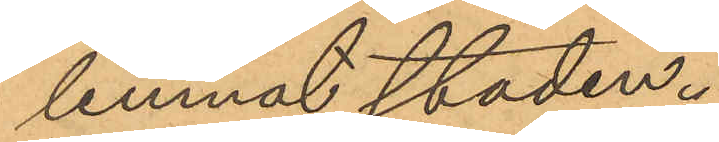lemnat staden.
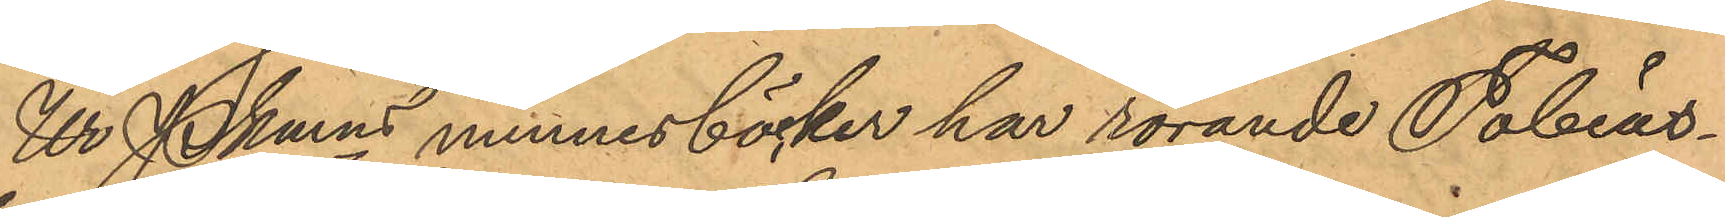Ur Pkmns minnesböcker har rörande Tobias¬
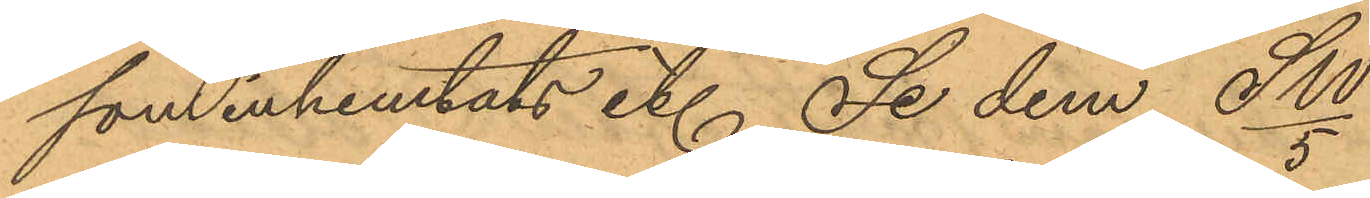som inhemtats etc Se dem Sw/5
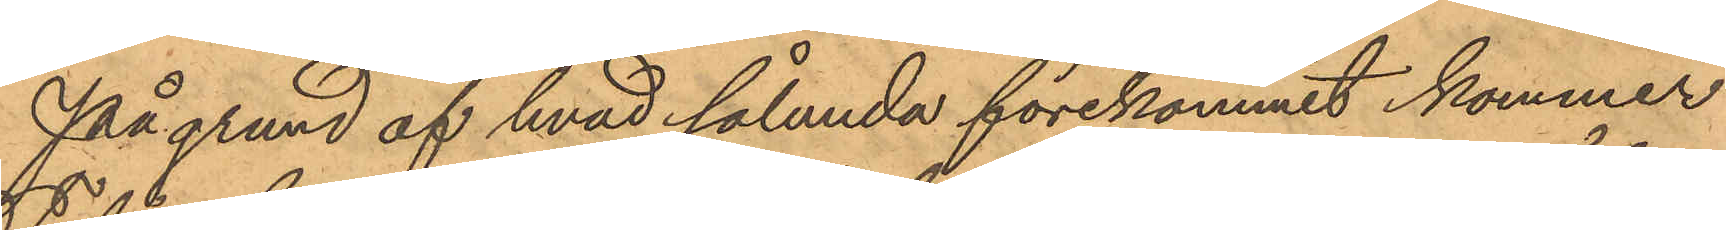På grund af hvad sålunda förekommit kommer
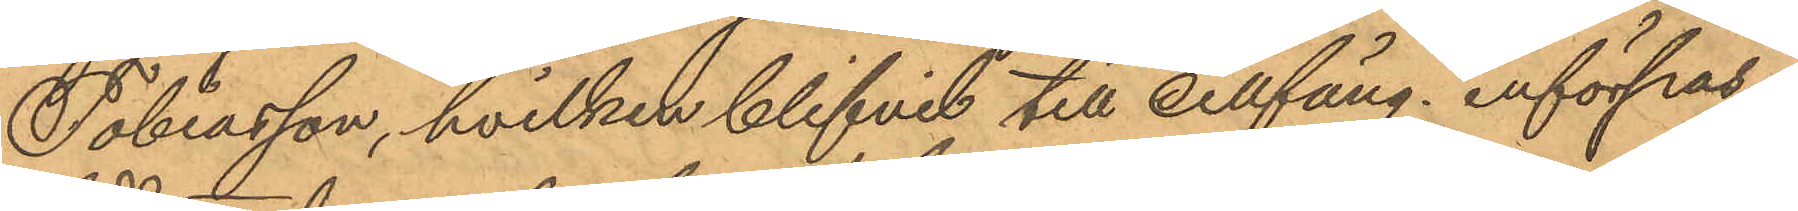Tobiasson, hvilken blifvit till cellfäng. införpas¬
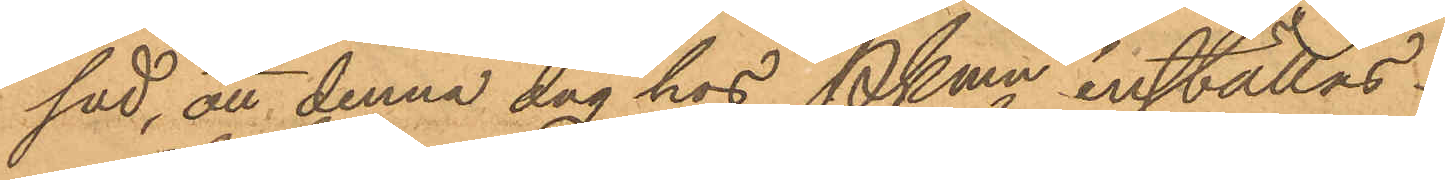sad, att denna dag hos Pkmn inställas.
